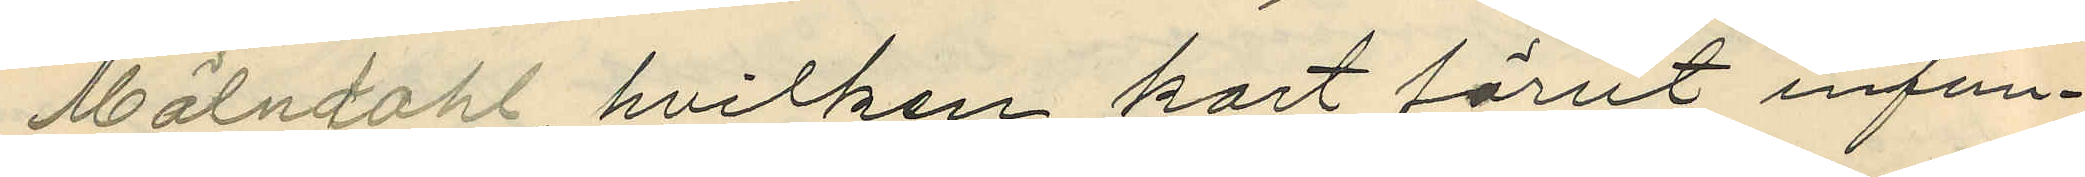Mölndahl, hvilken kort förut infun¬
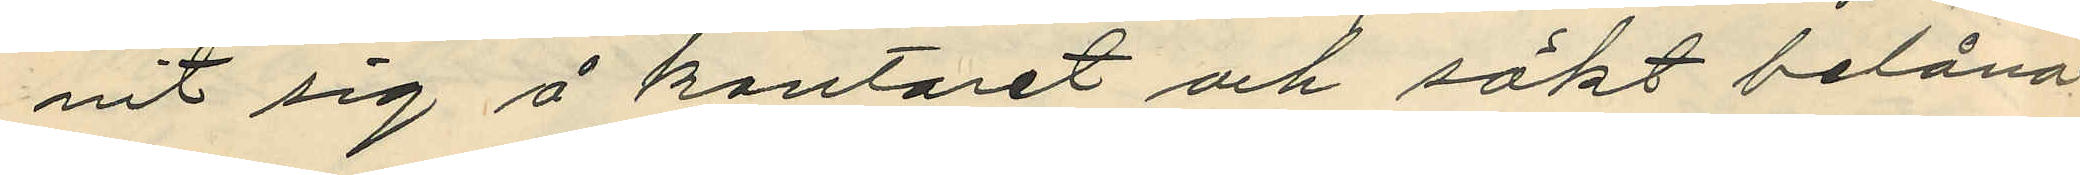nit sig å kontoret och sökt belåna
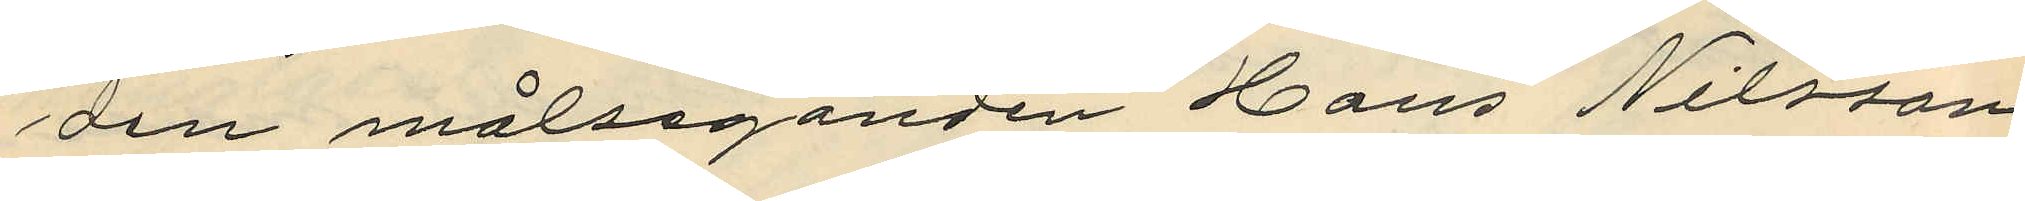den målseganden Hans Nilsson
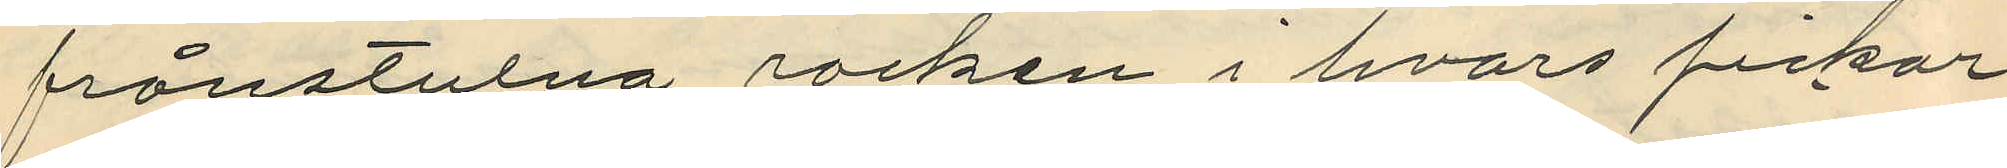frånstulna rocken i hvars fickar
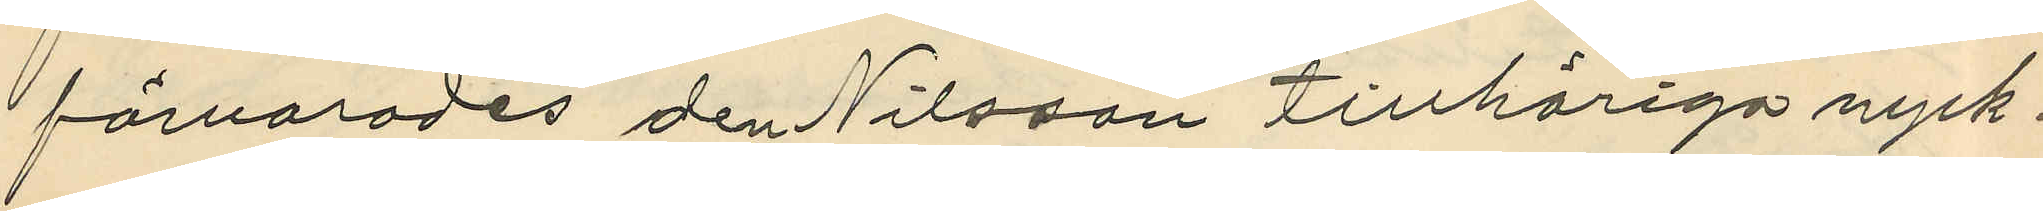förvarades den Nilsson tillhöriga nyck¬
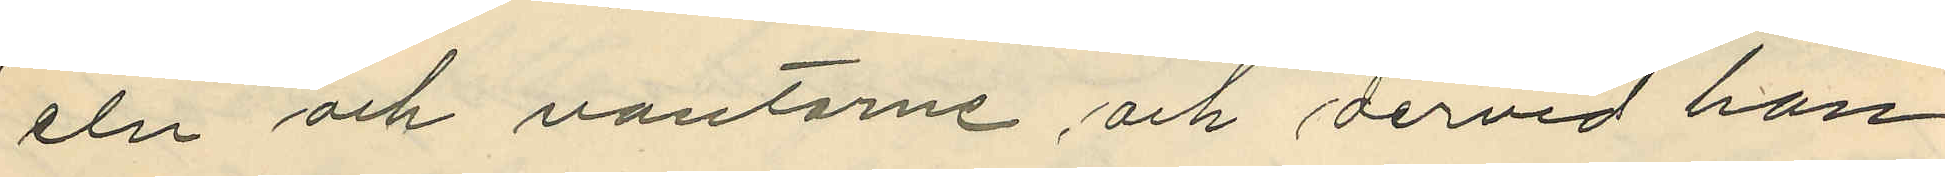eln och vantarne, och dervid han
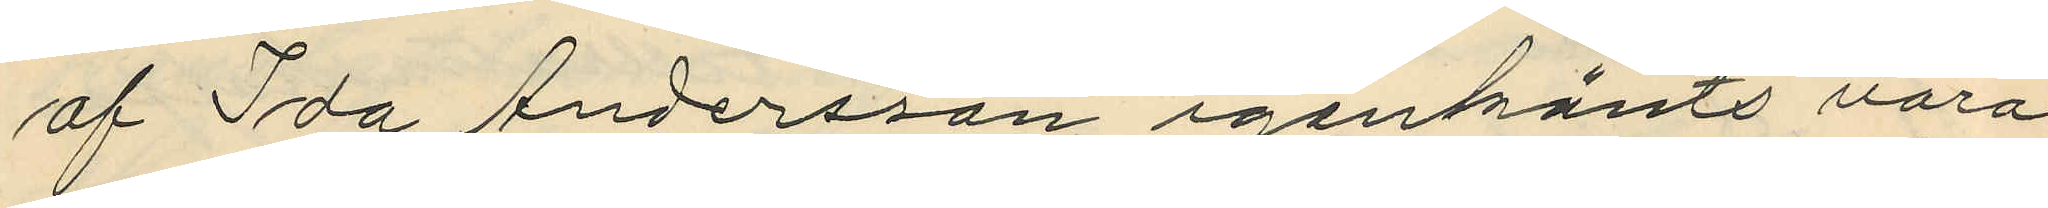af Ida Andersson igenkänts vara
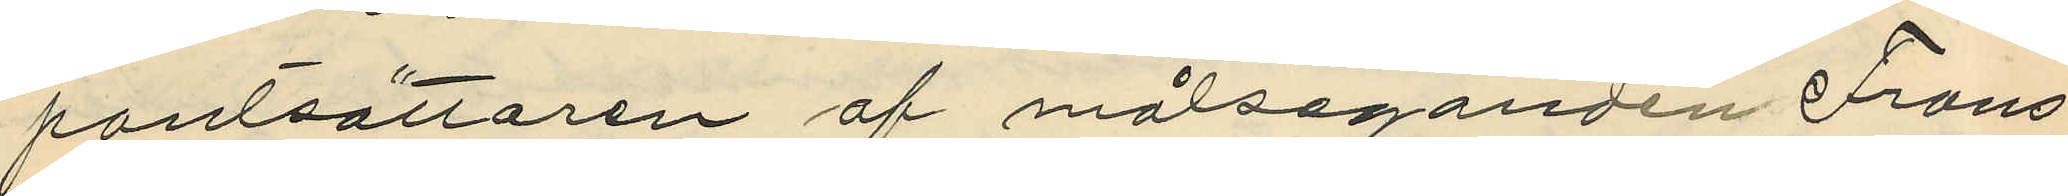pantsättaren af målseganden Frans
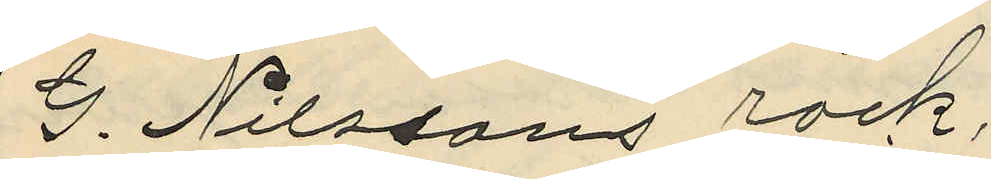G. Nilssons rock,
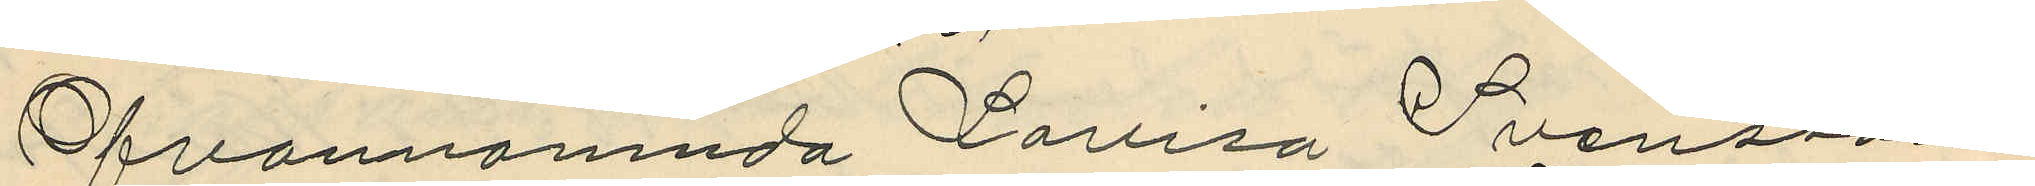Ofvannämnda Lovisa Svensson
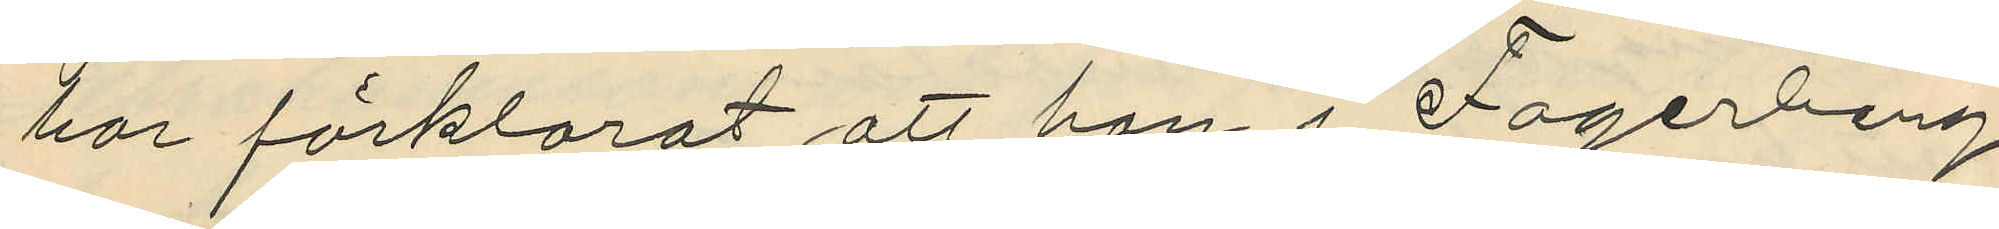har förklarat att hon i Fagerberg
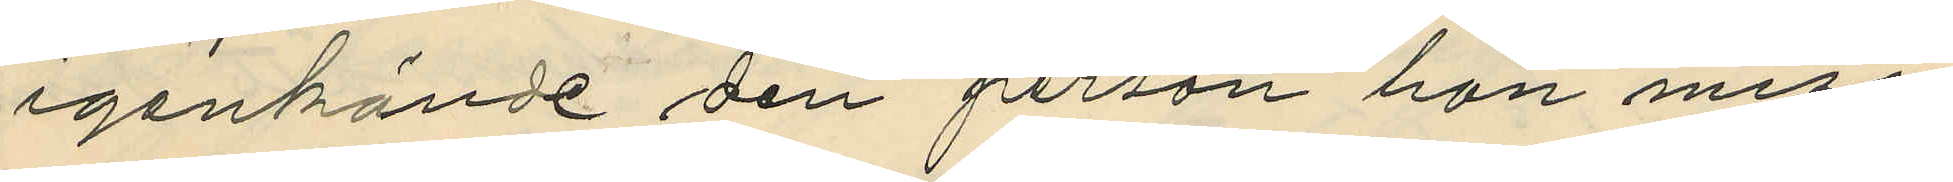igenkände den person hon miss¬
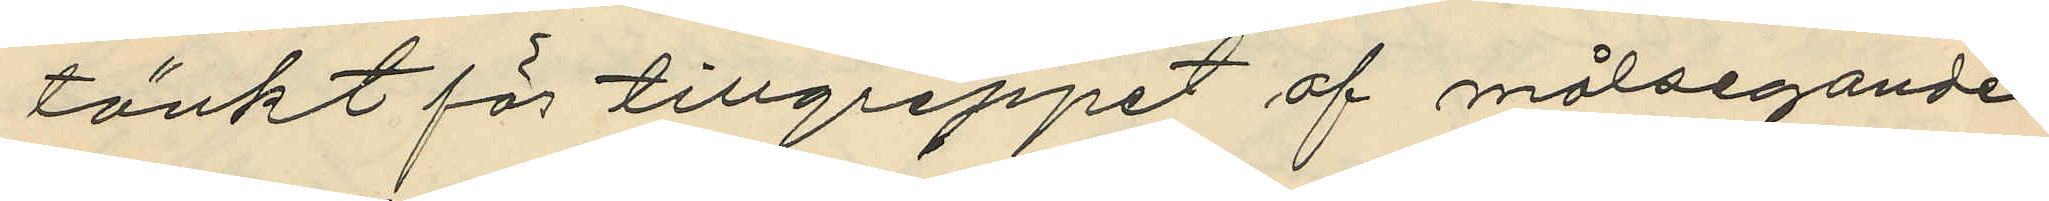tänkt för tillgreppet af målsegande
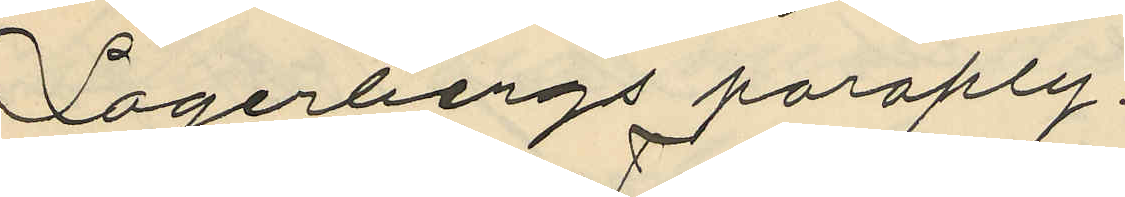Lagerbergs paraply:
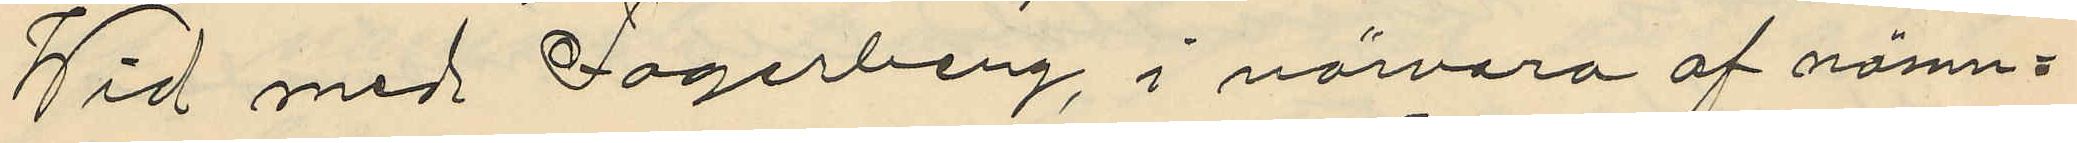Wid med Lagerberg, i närvaro af namn¬
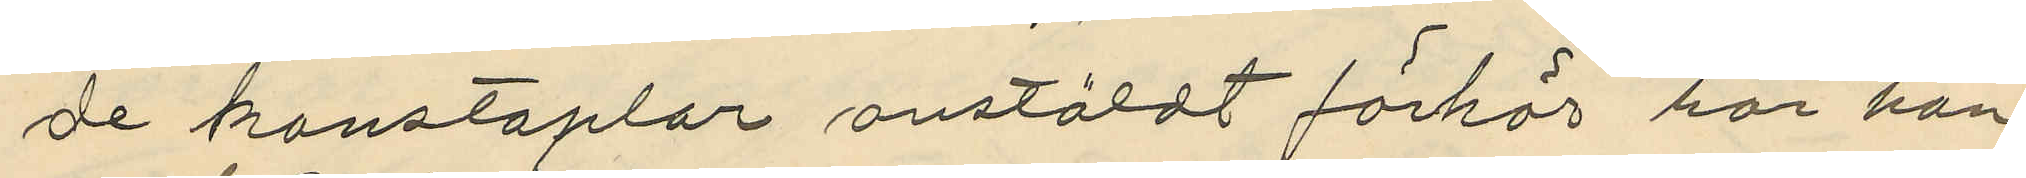de konstaplar anstäldt förhör har han
